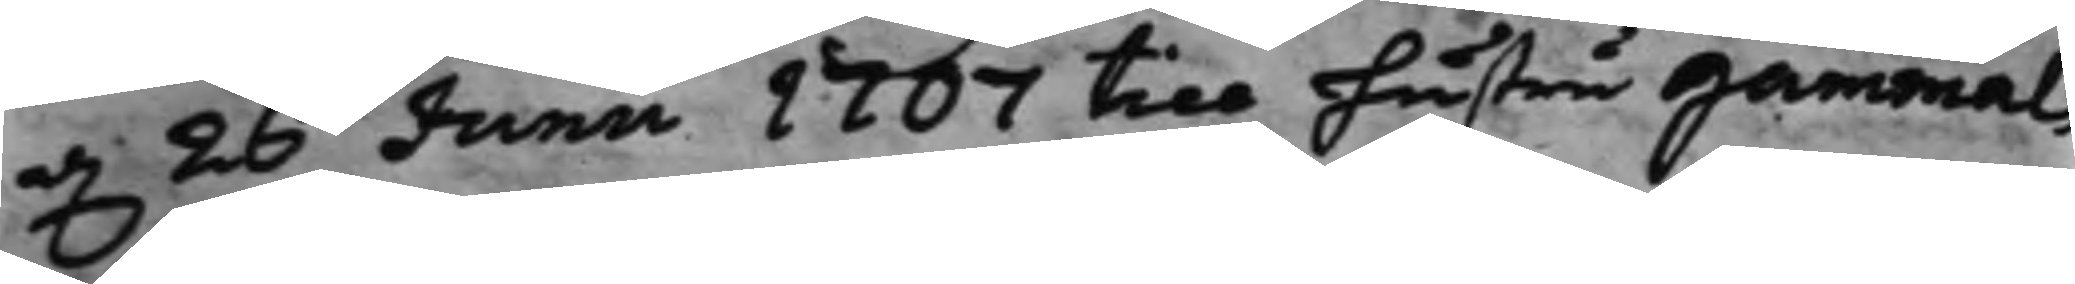d. 26 Junii 1707 till hustru Gammals
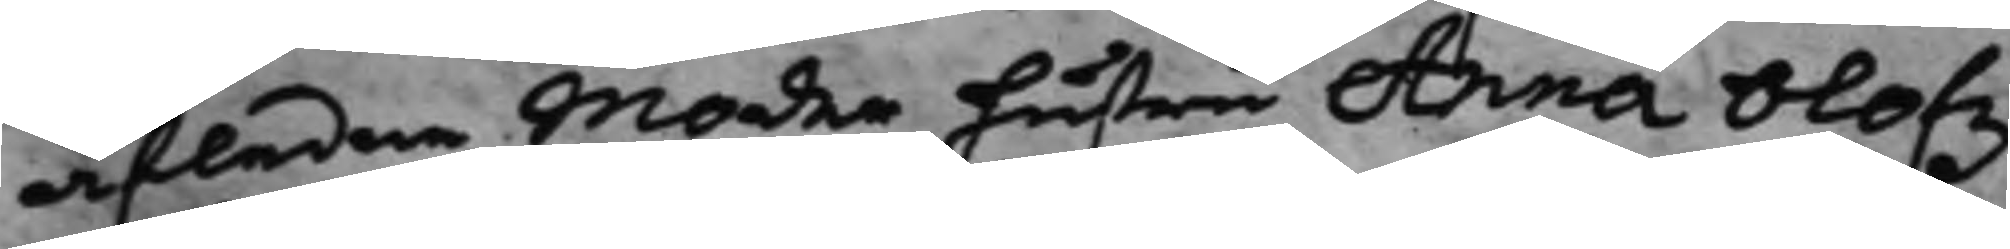afledne Moder hustru Anna Olofz¬
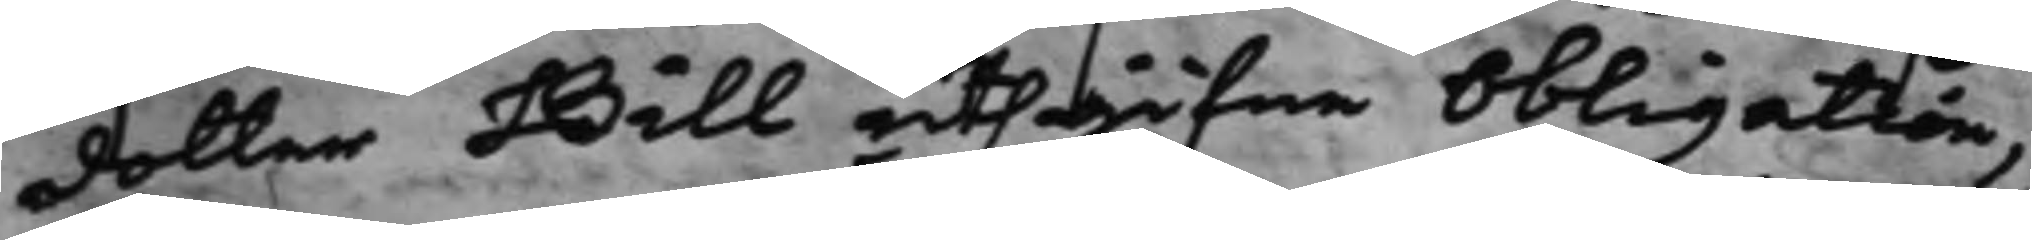dotter Bill uthgifne Obligation,
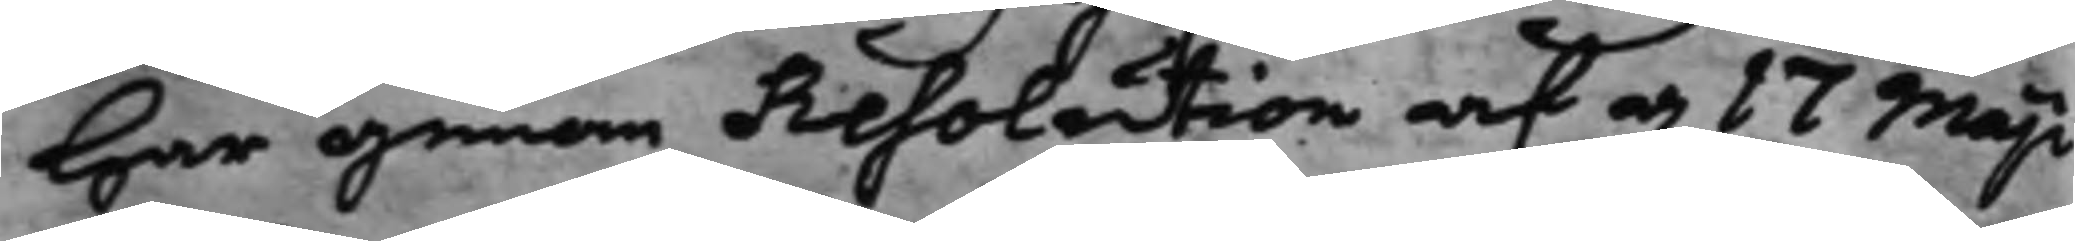Har genom Resolution af d: 17 Maji
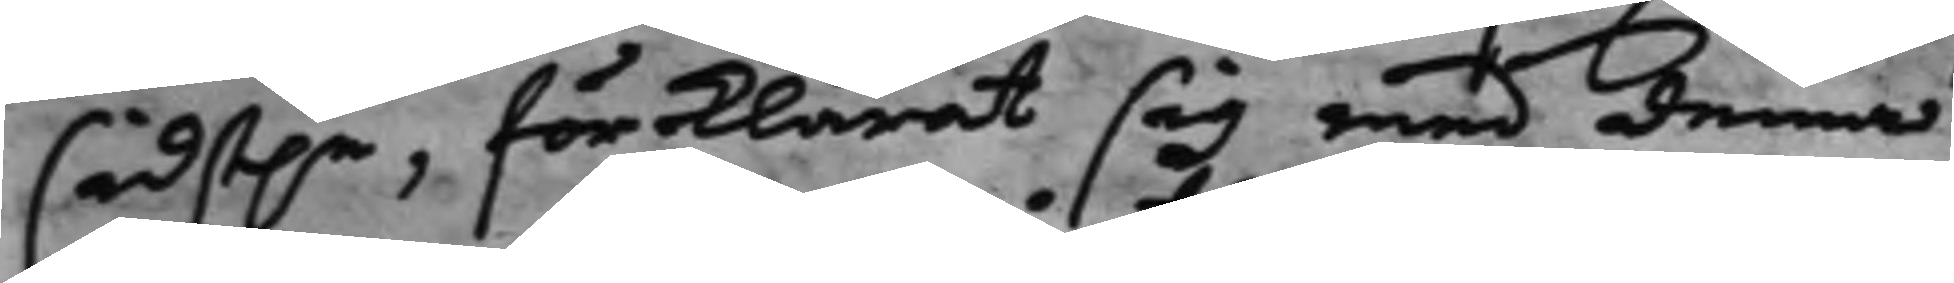sidst.e, förklarat sig med denna
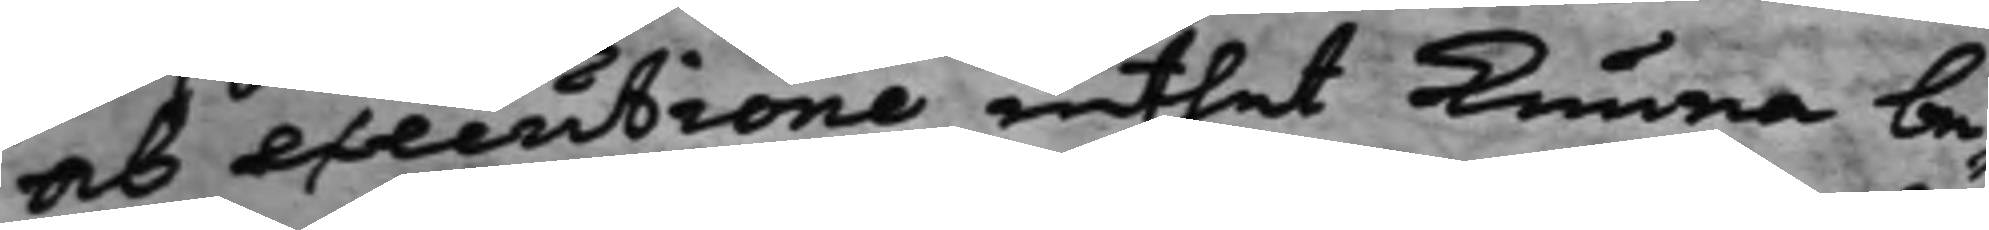och executione inthet kunna be¬
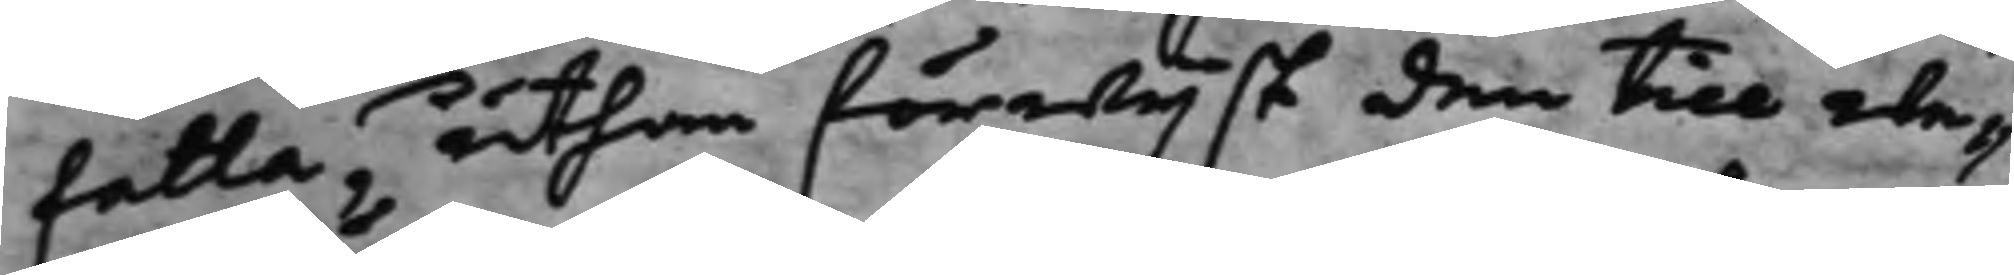falla, uthan förwijst den till we¬
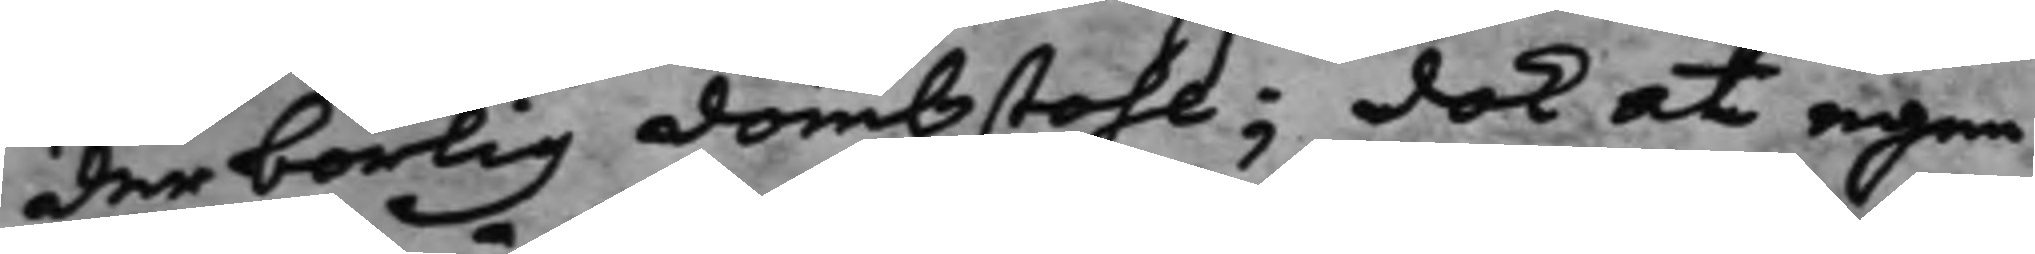derbörlig Dombstohl; dock at egen¬
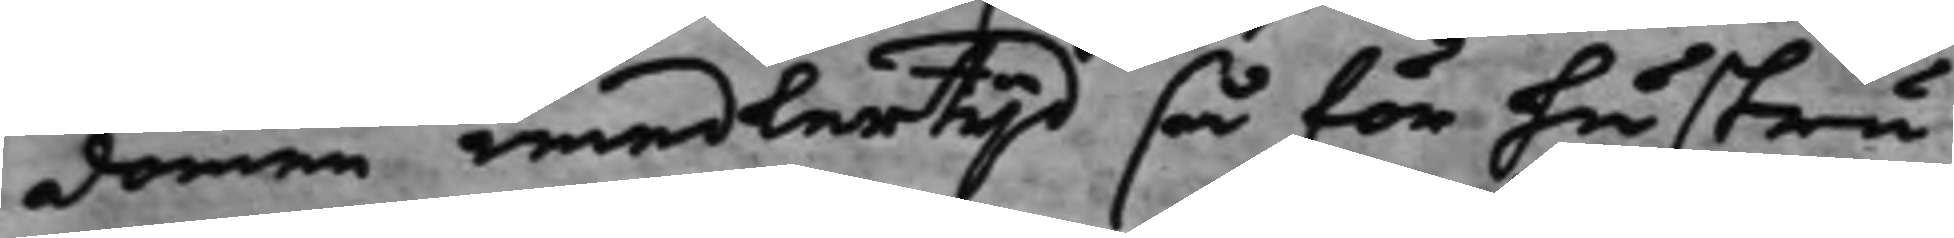domen, emedlertijd så för hustru
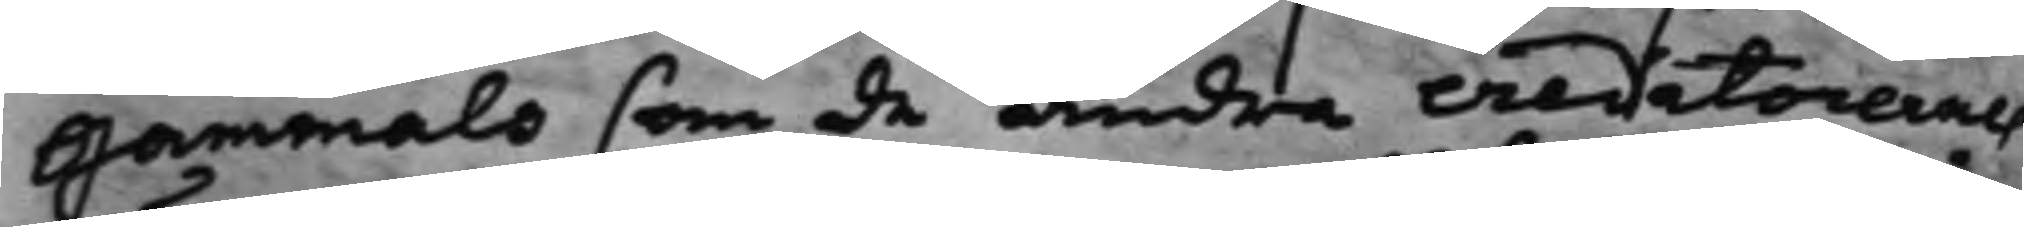Gammals som de andra creditorernes
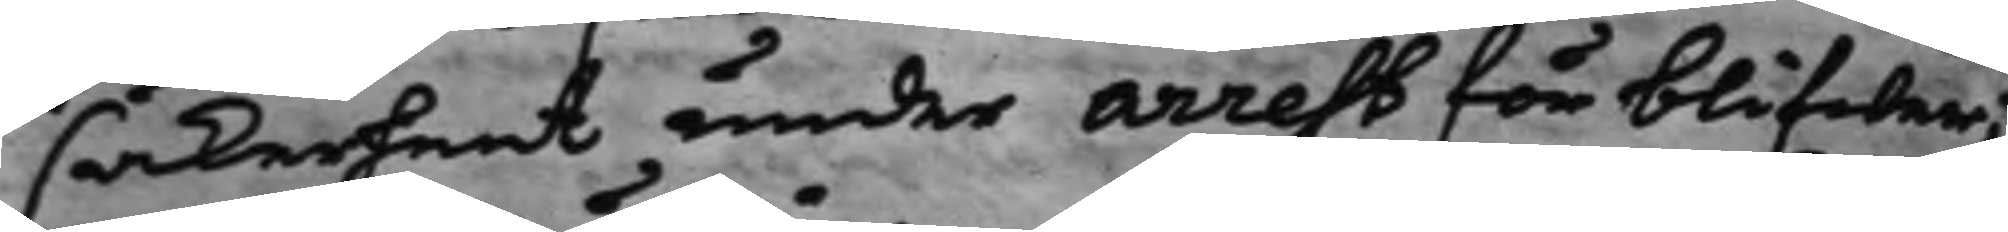säkerheet under arrest förblifwer;
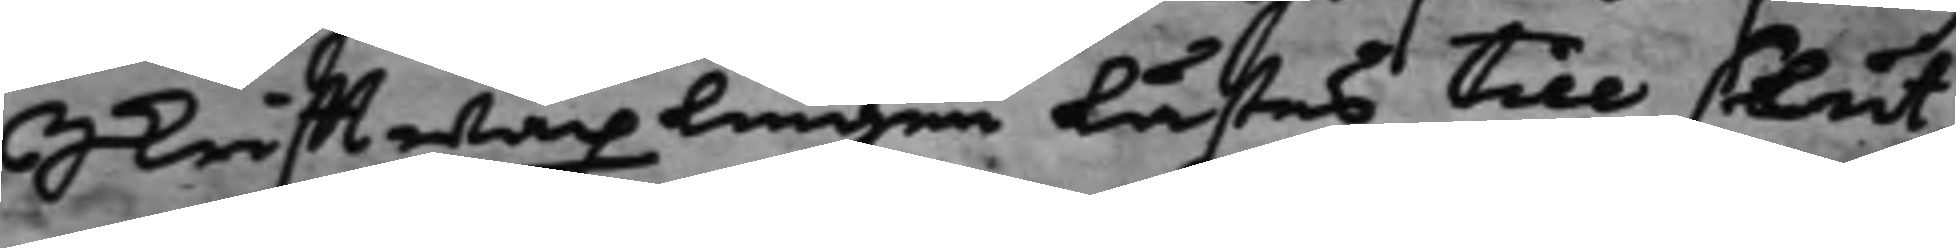Skrifftwäxlingen lästes till slut,
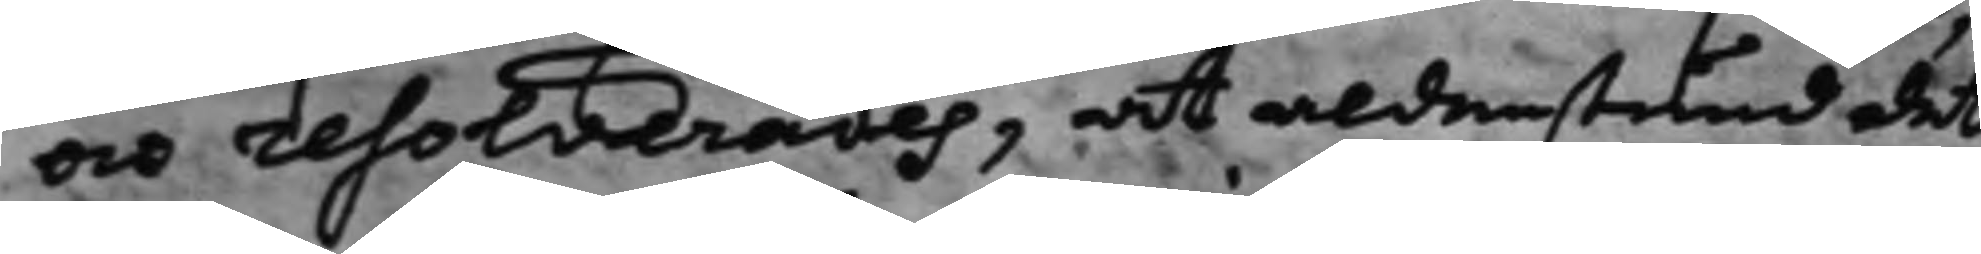och resolverades, at aldenstund det
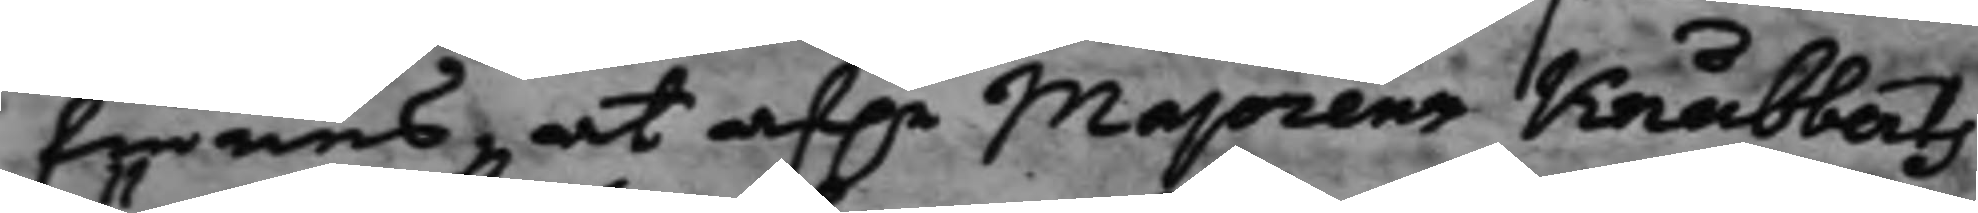finnes, at af.e Majorens Knubberts
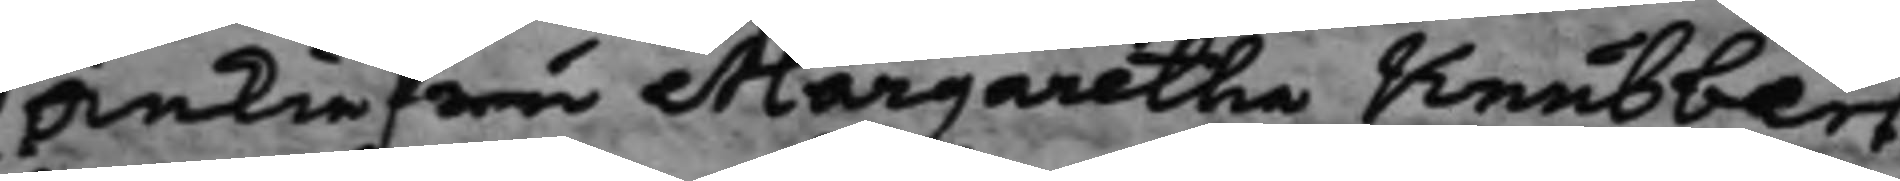Änkiefru Margaretha Knubbert
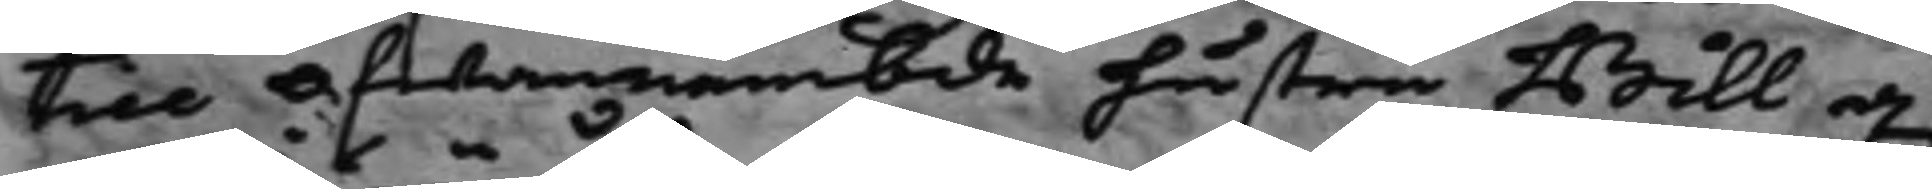till ofwannämbde hustru Bill d.
